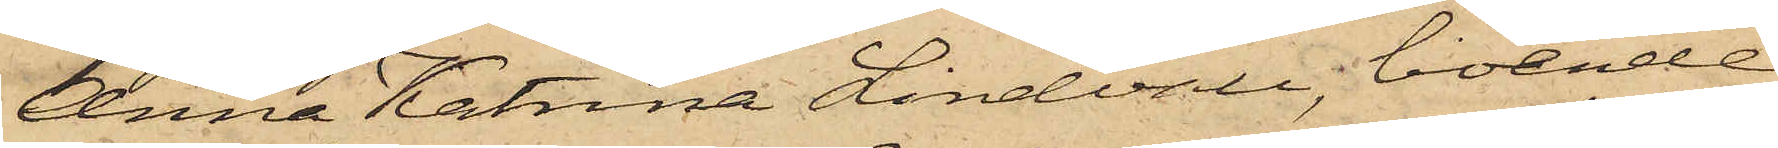Anna Katrina Lindvall, boende
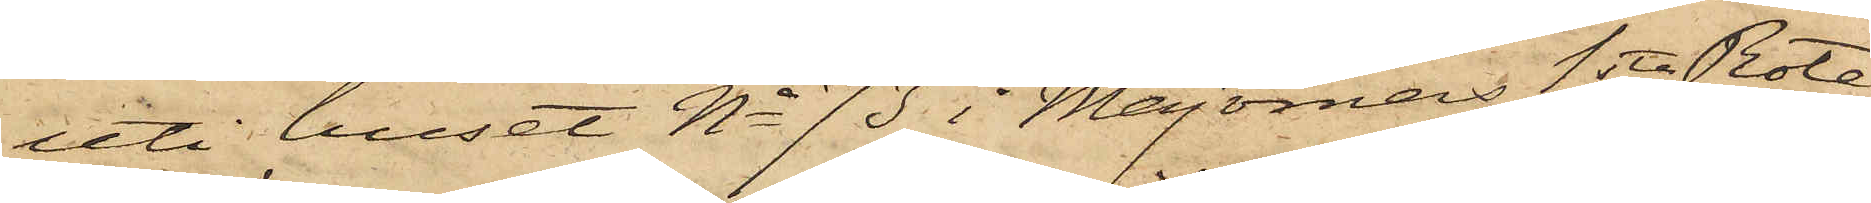uti huset No 73 i Majornas 1sta Rote,
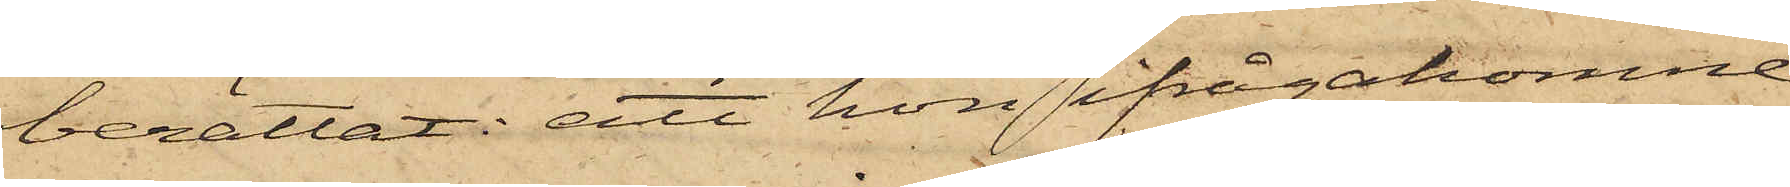berättat: att hon ifrågakomne
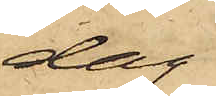dag
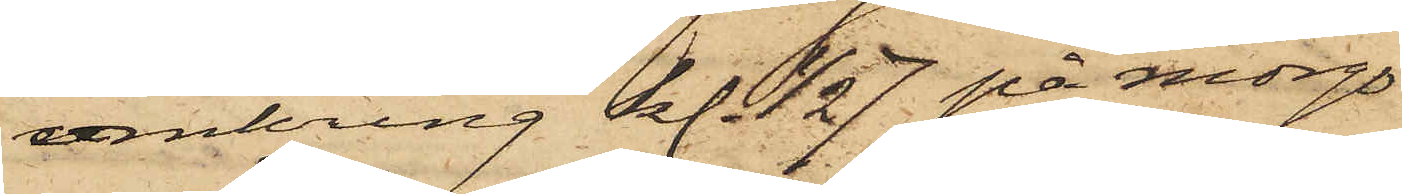omkring kl. 1/2 7 på morgo¬
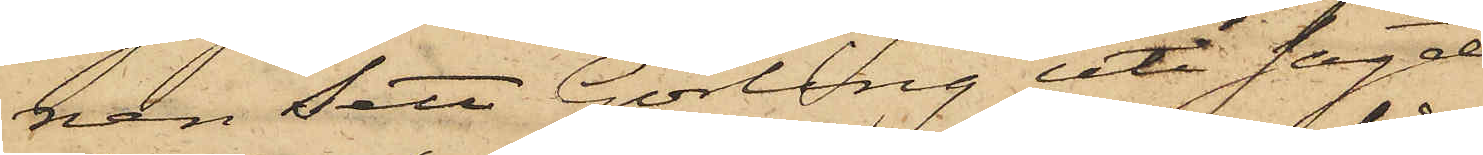nen sett Görling uti sagde
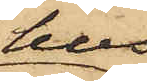hus
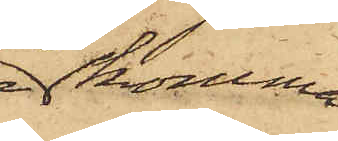komma
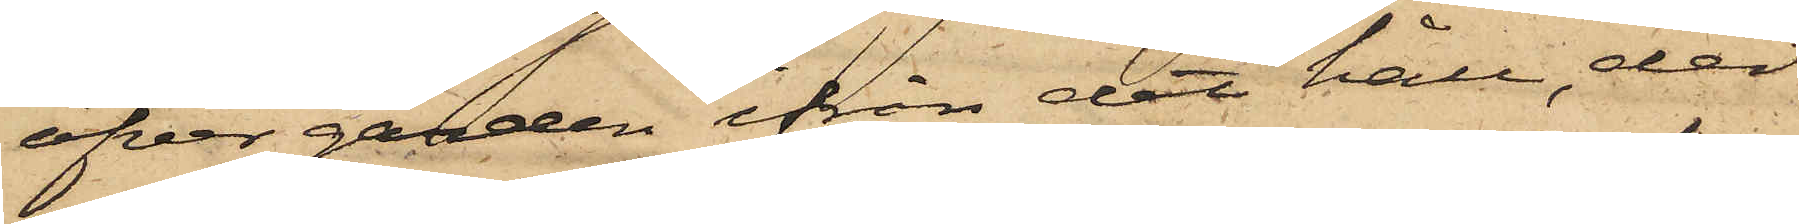öfver gården ifrån det håll, der
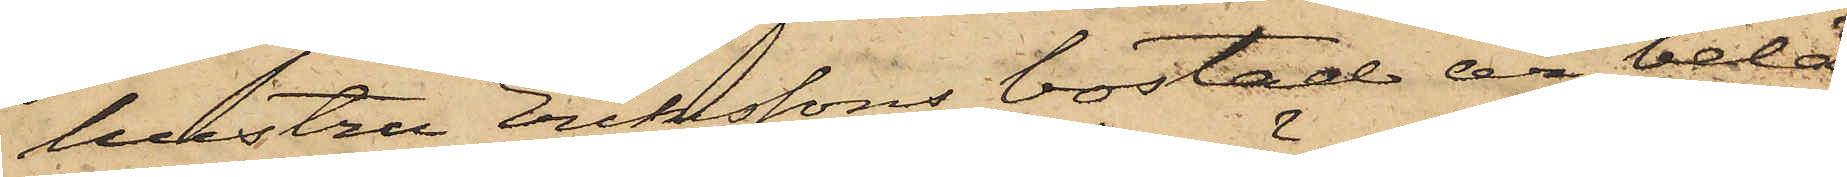hustru Erikssons bostad är belä¬
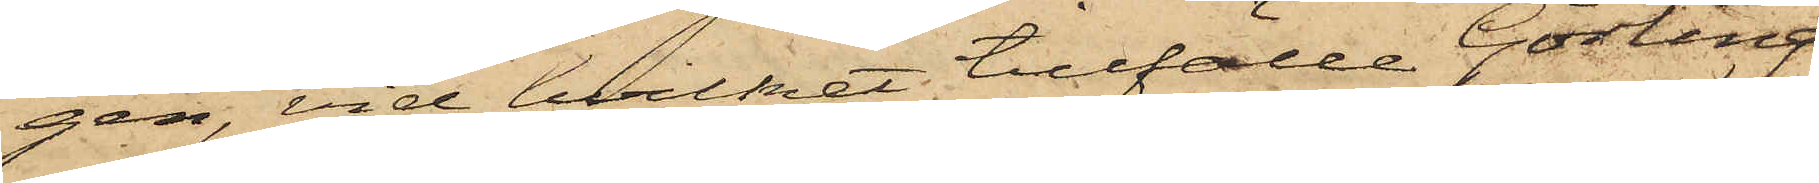gen, vid hvilket tillfälle Görling
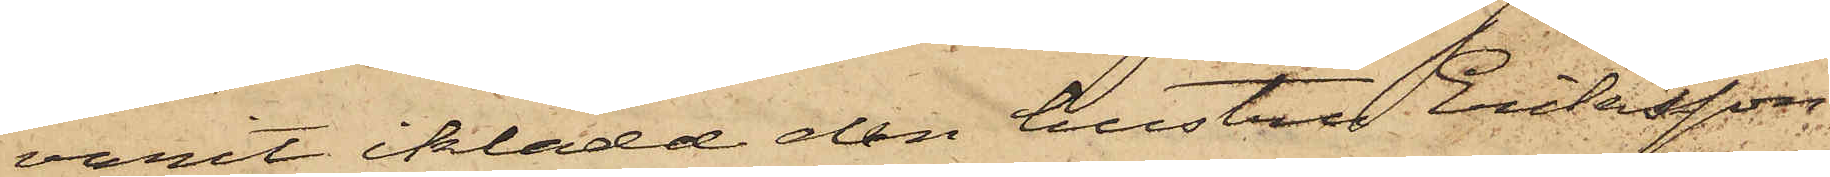varit iklädd den hustru Eriksson
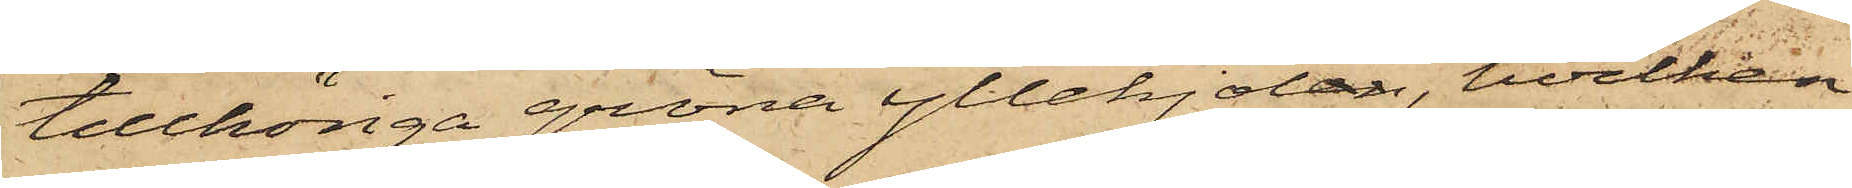tillhöriga gröna yllekjolen, hvilken
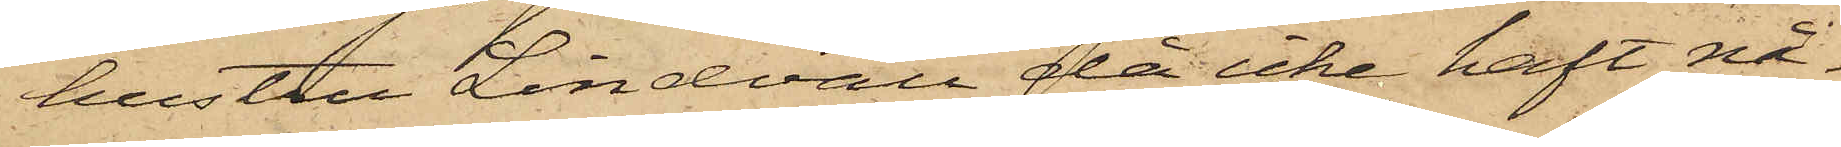hustru Lindvall då icke haft nå¬
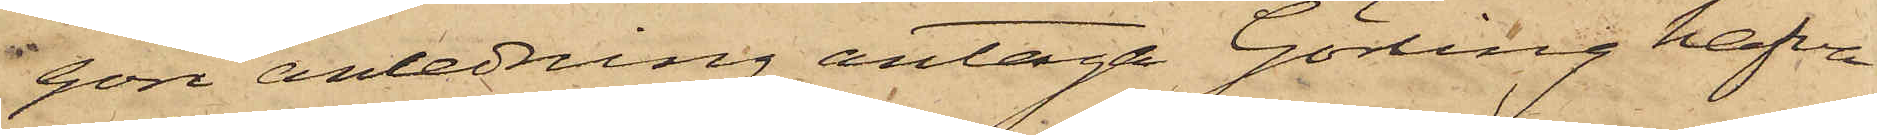gon anledning antaga Görling hafva
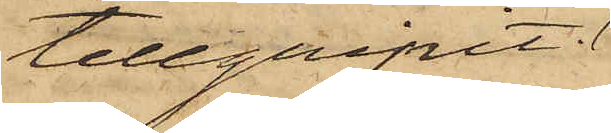tillgripit.
